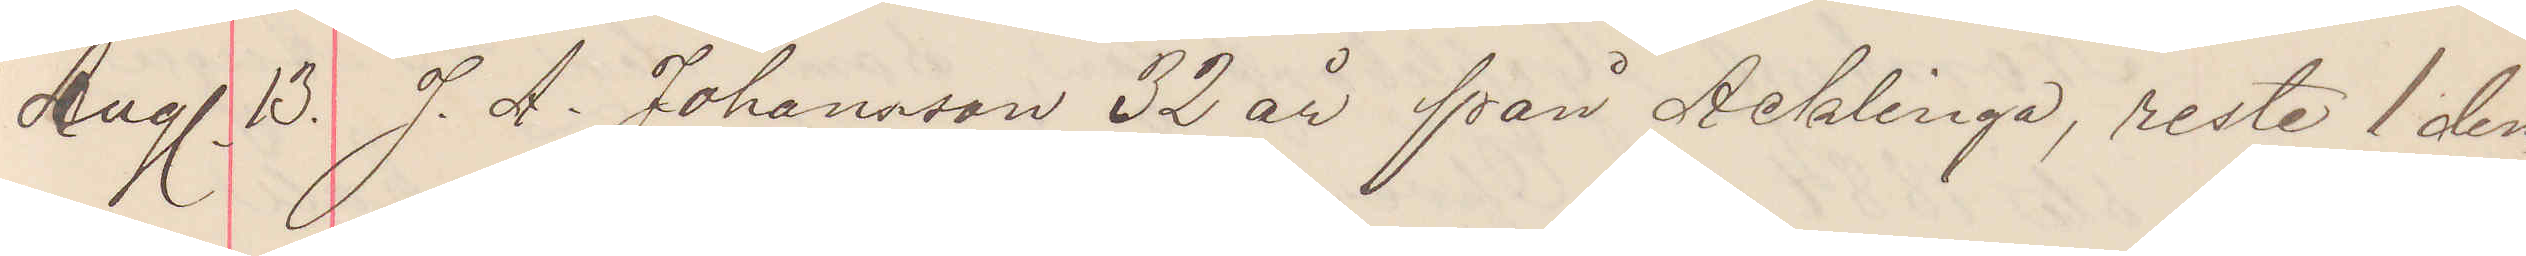Aug. 13. J. A. Johansson 32 år från Acklinga, reste 1 den¬
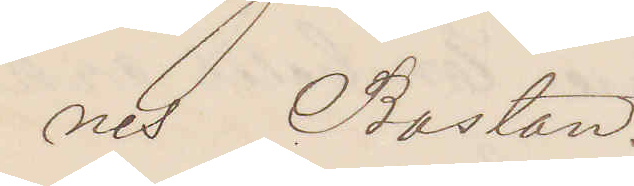nes Boston.
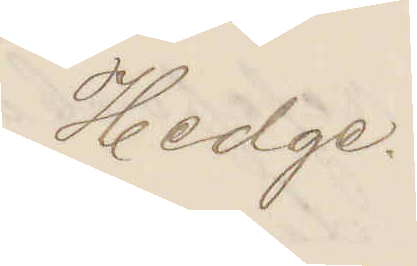Hedge.
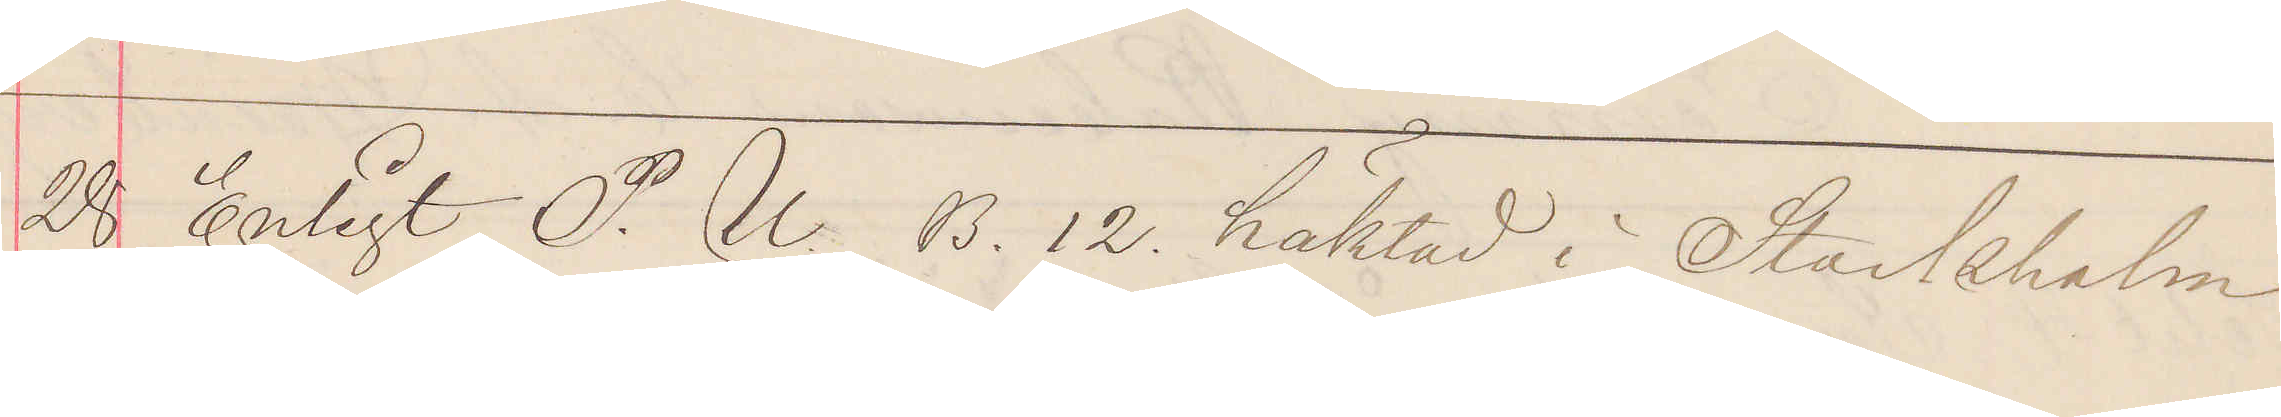28 Enligt P. U. B. 12. häktad i Stockholm
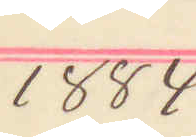1884
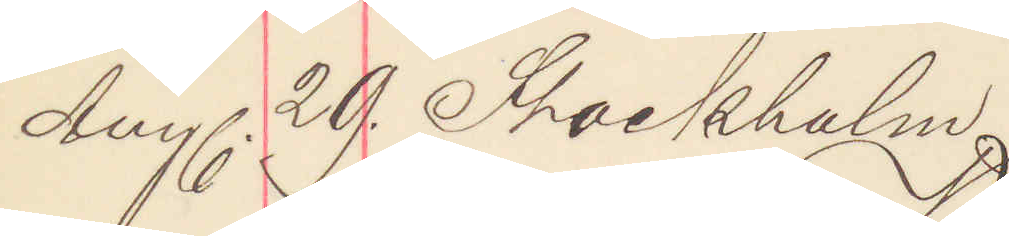Aug. 29. Stockholm
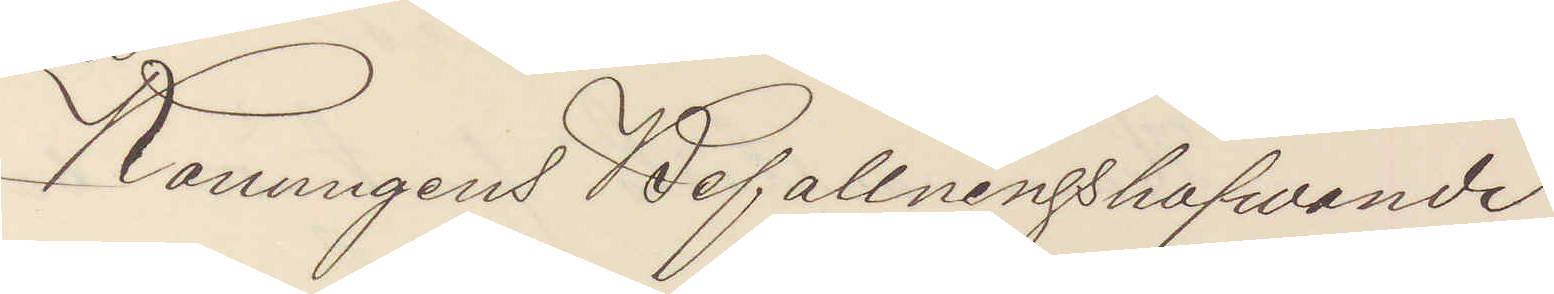Konungens Befallningshafvande
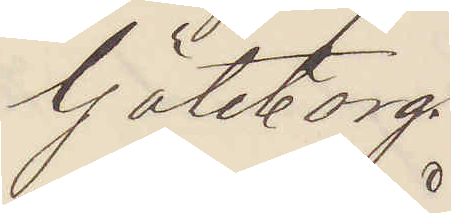Göteborg.
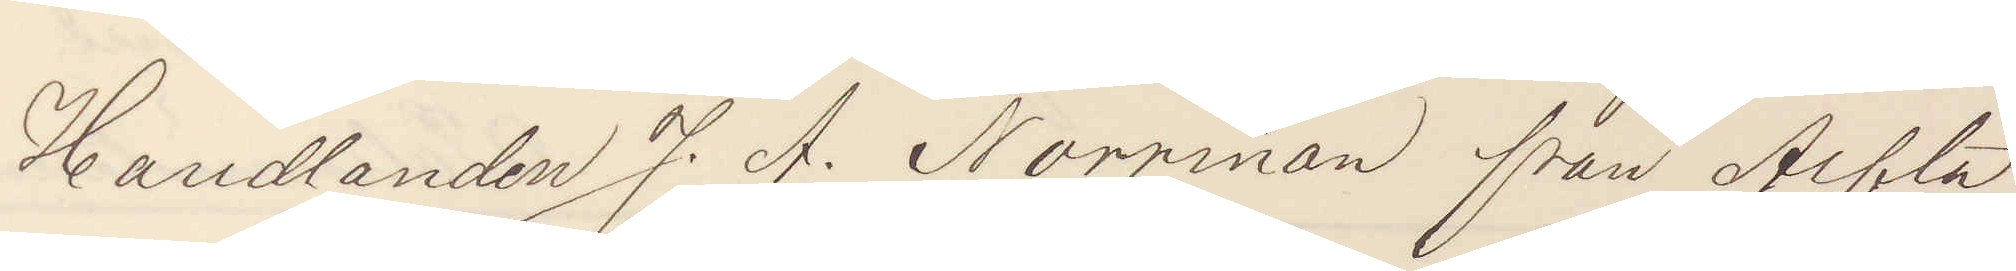Handlanden J. A. Norrman från Alfta
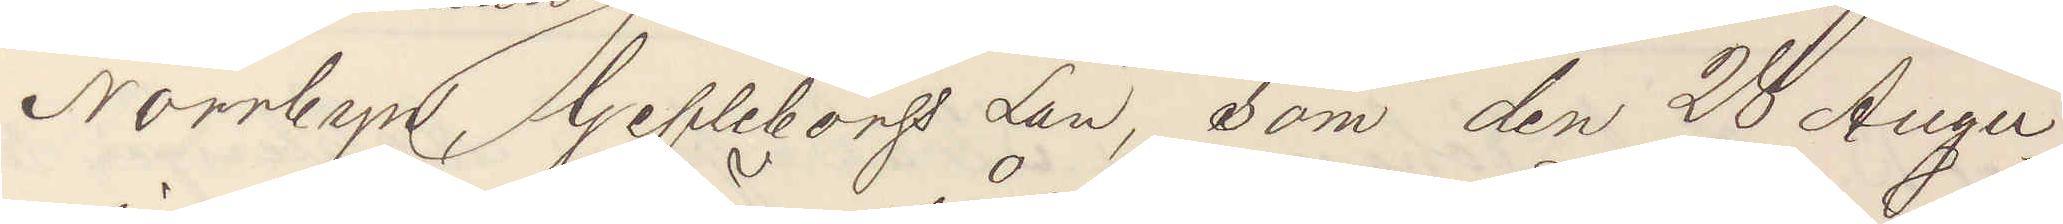Norrbyn, Gefleborgs Län, som den 28 Augu¬
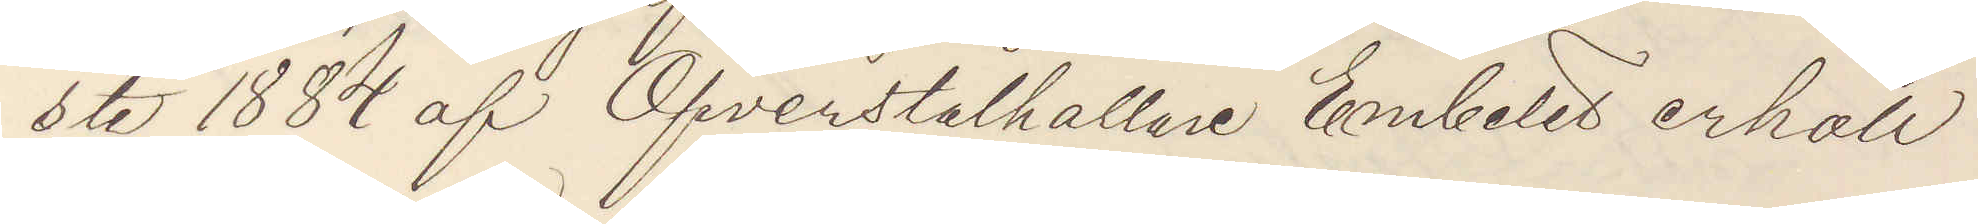sti 1884 af Öfverståthållare Embetet erhöll
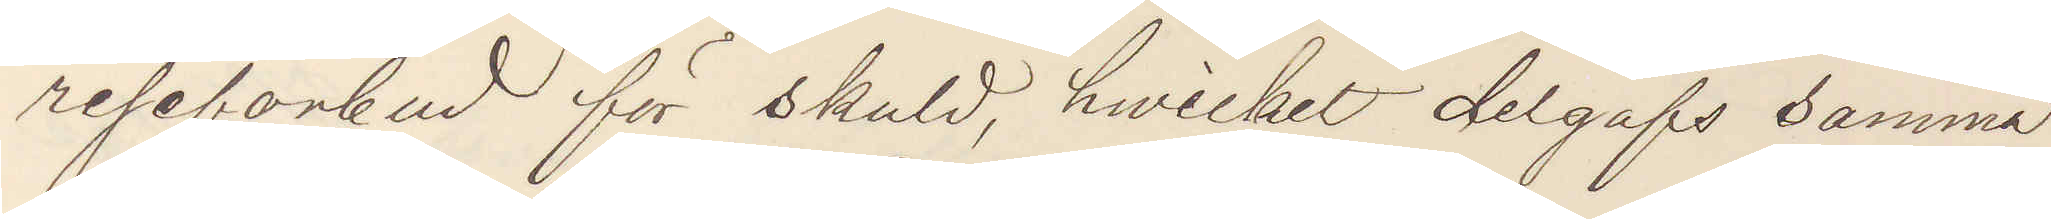reseförbud för skuld, hvilket delgafs samma
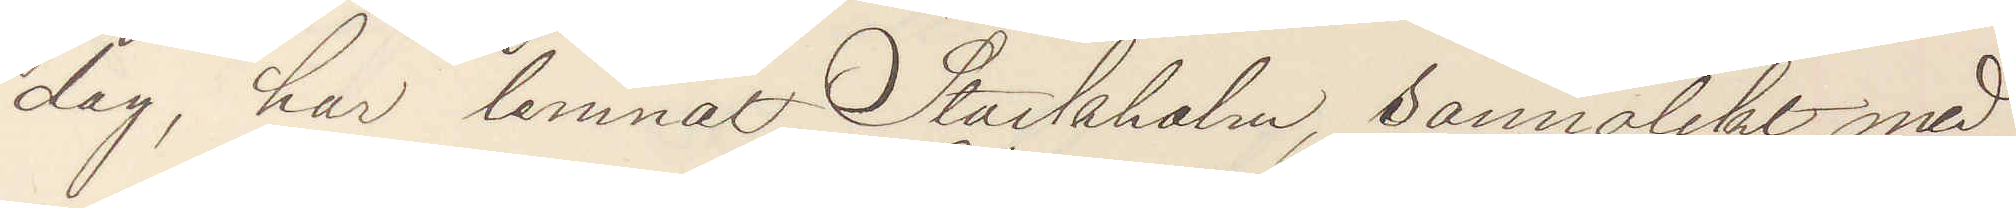dag, har lemnat Stockholm, sannolikt med
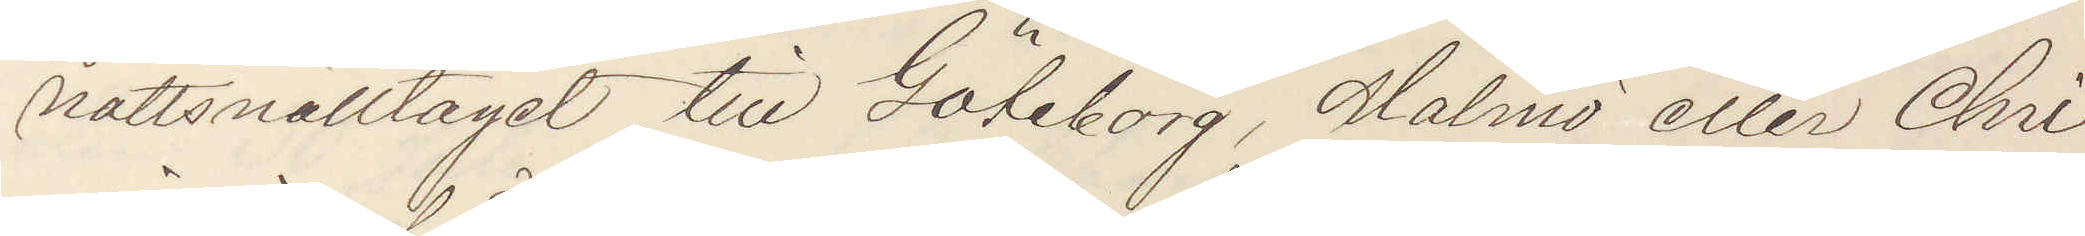nattsnälltåget till Göteborg, Malmö eller Chri¬
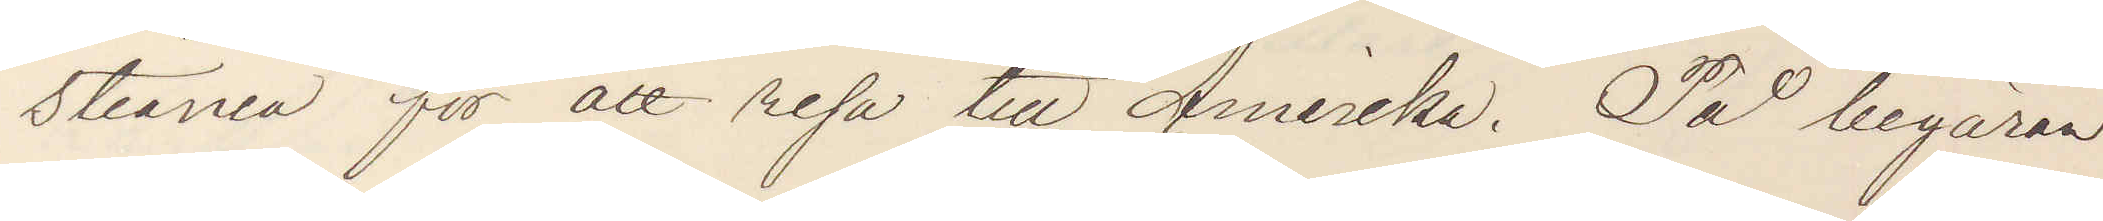stiania för att resa till Amerika. På begäran
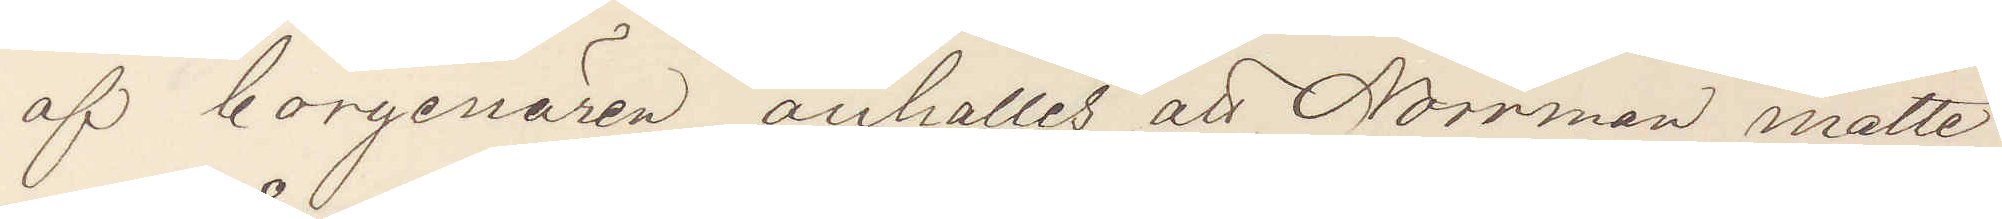af borgenärer anhålles att Norrman måtte
